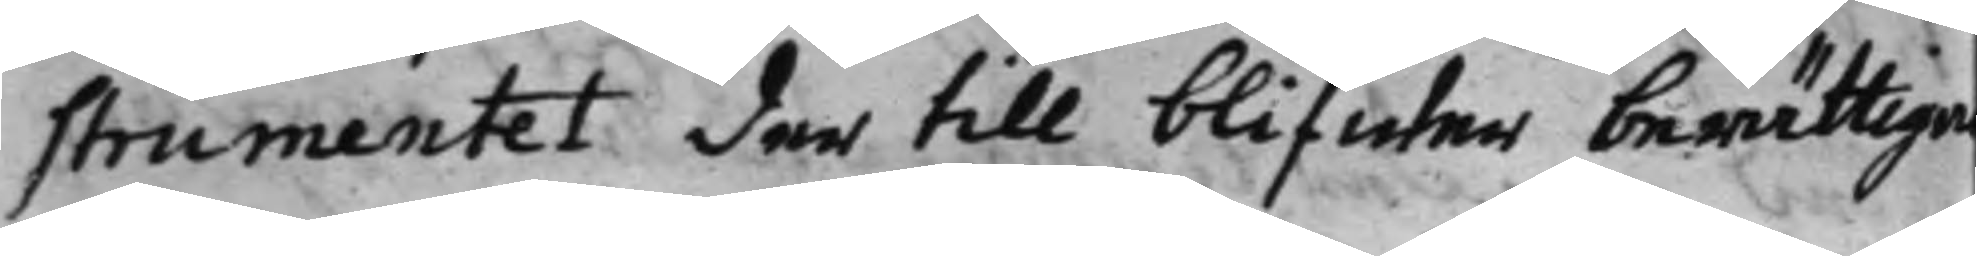strumentet der till blifwer berättige
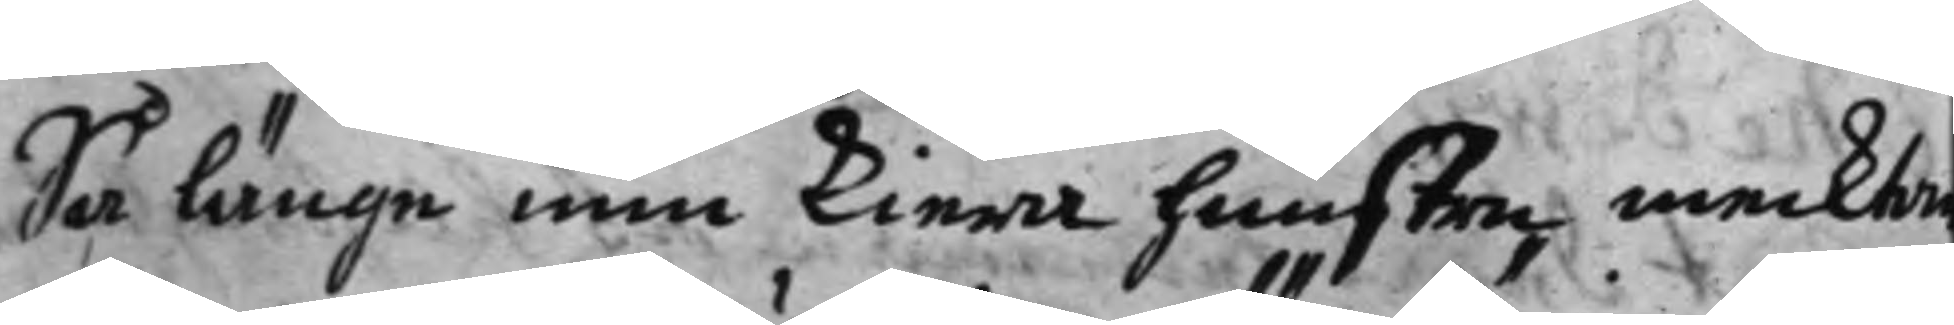Så länge min kiera huustre, mecktar
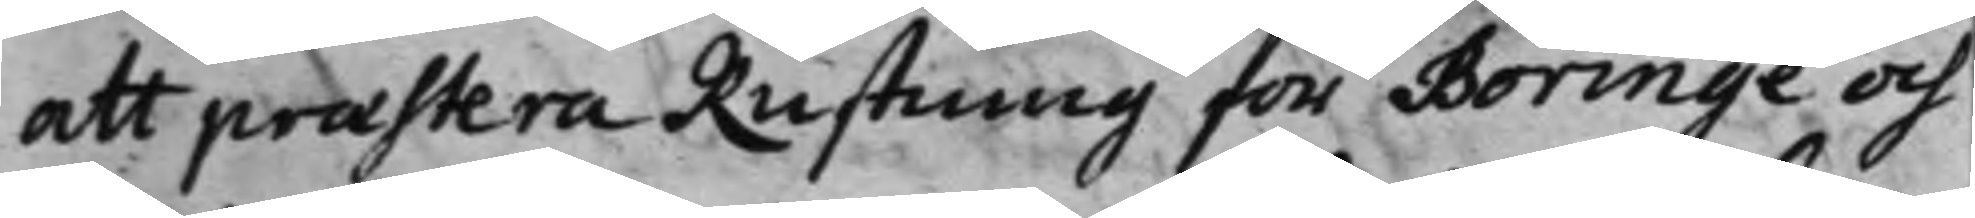att præstera Rustning för Böringe och
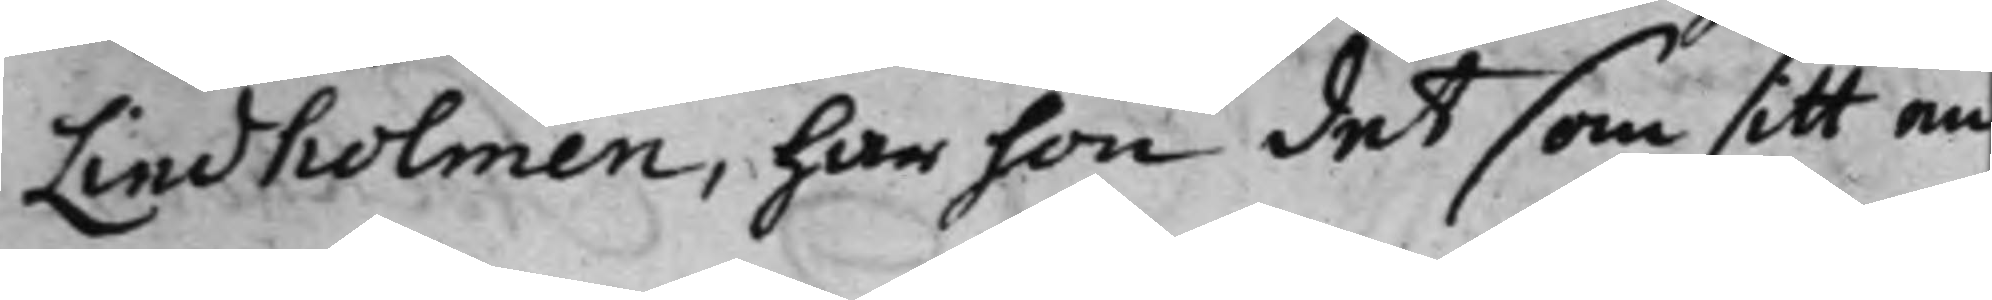Lindholmen, har hon det som sitt en¬
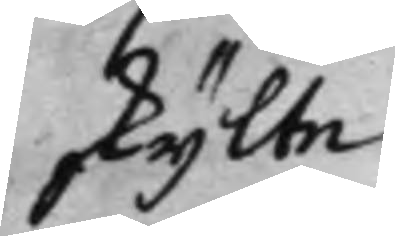skijlte
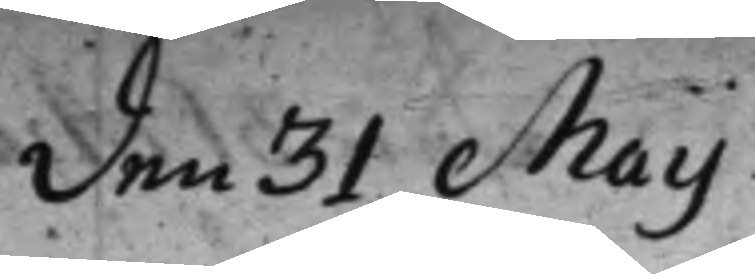den 31 Maij
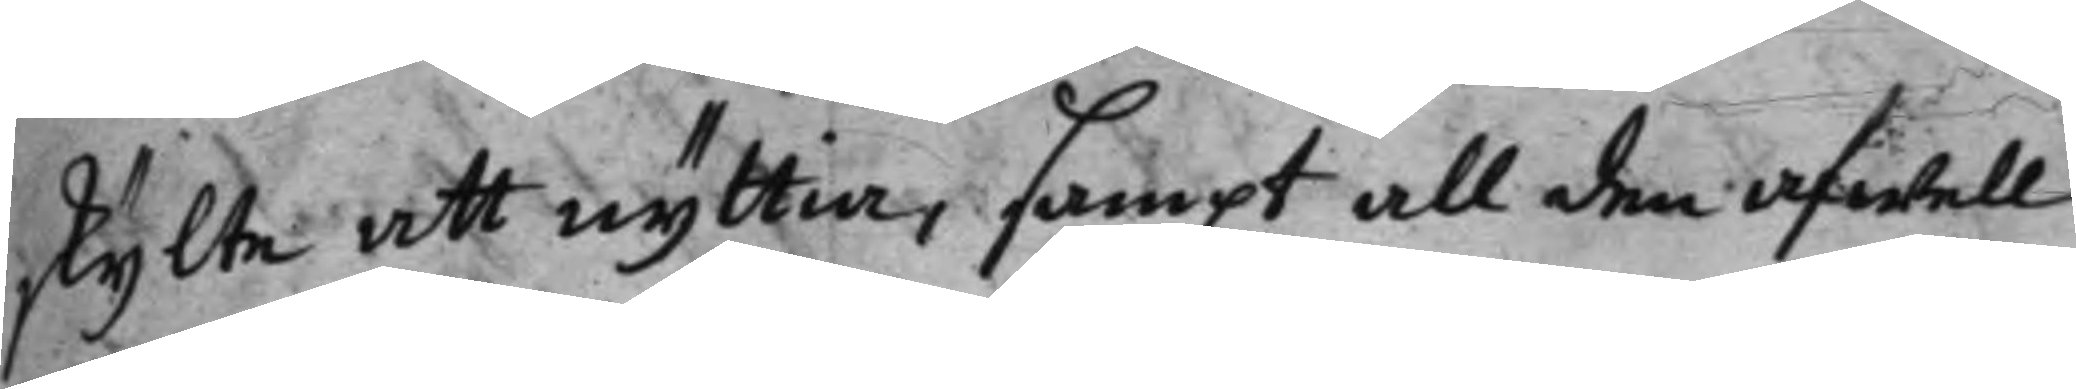skijlte att nyttia, sampt all den afwell
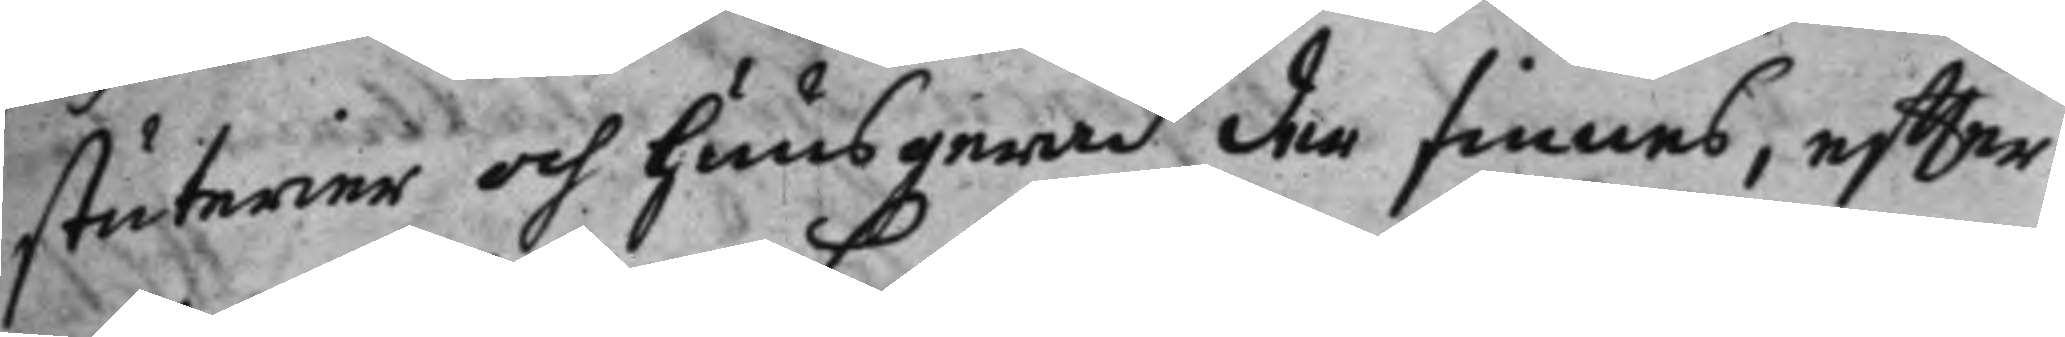stuterier och huusgeråd der finnes, effter
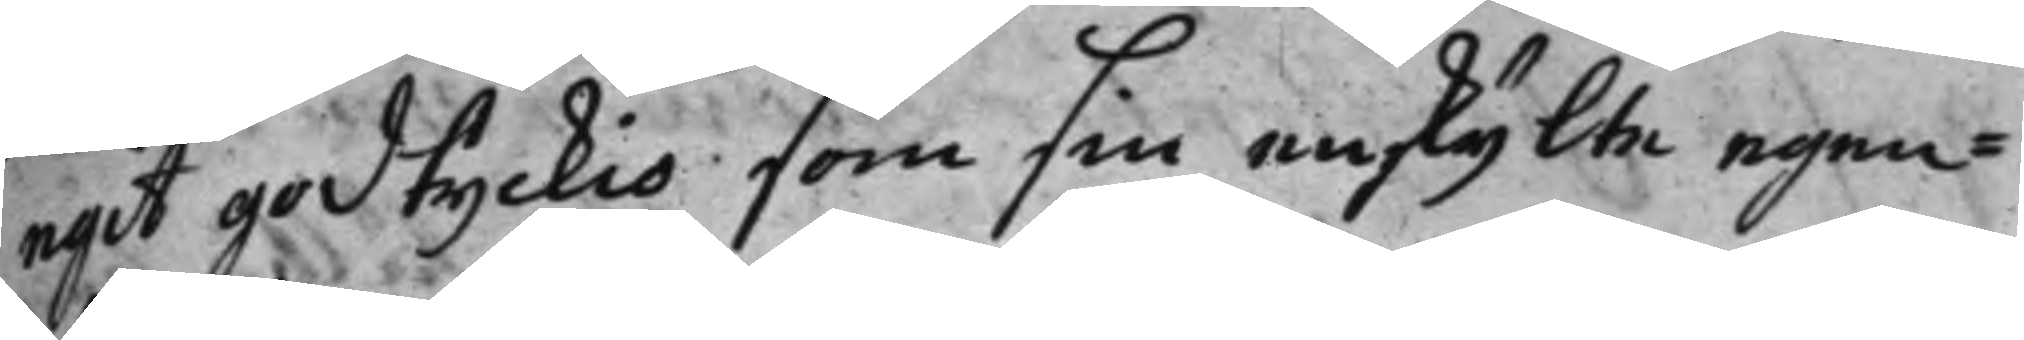egit godtyckio som sin enskijlte egen¬
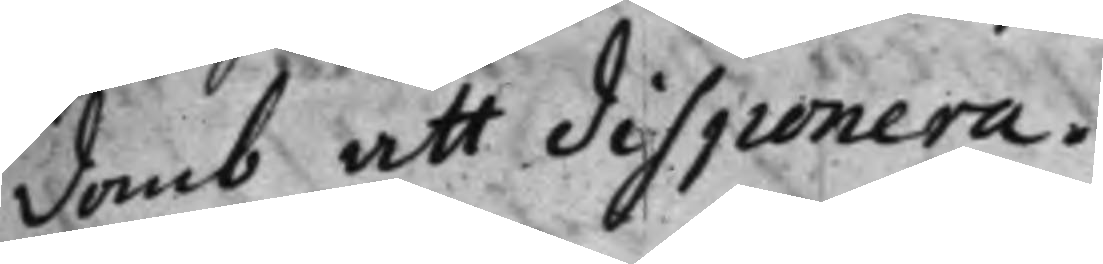domb att disponera.
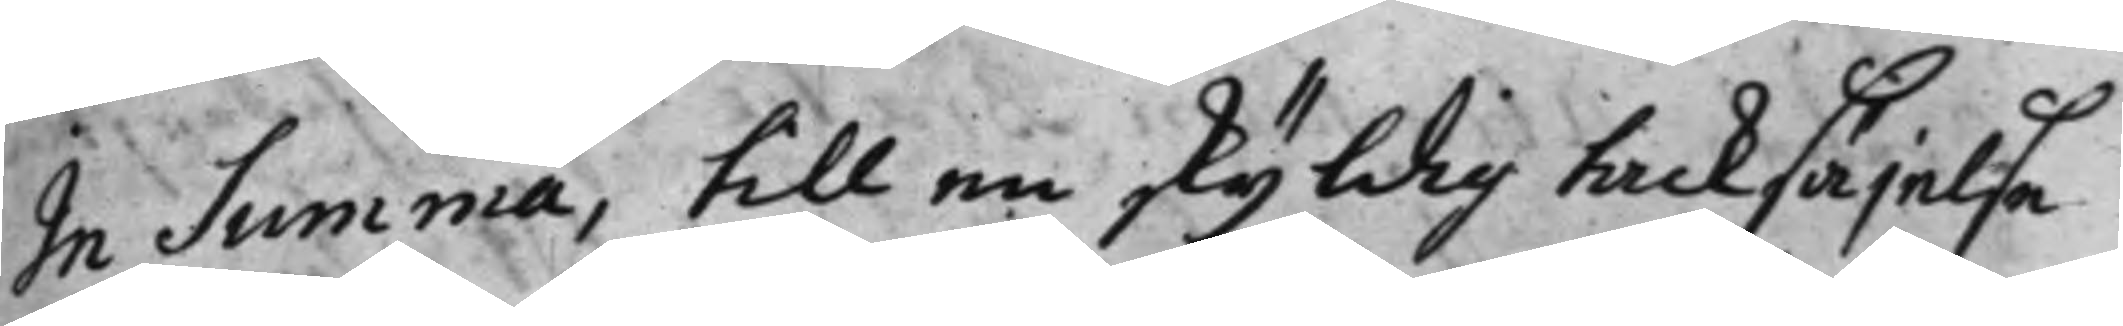In Summa, till en skyldig tacksäjelse
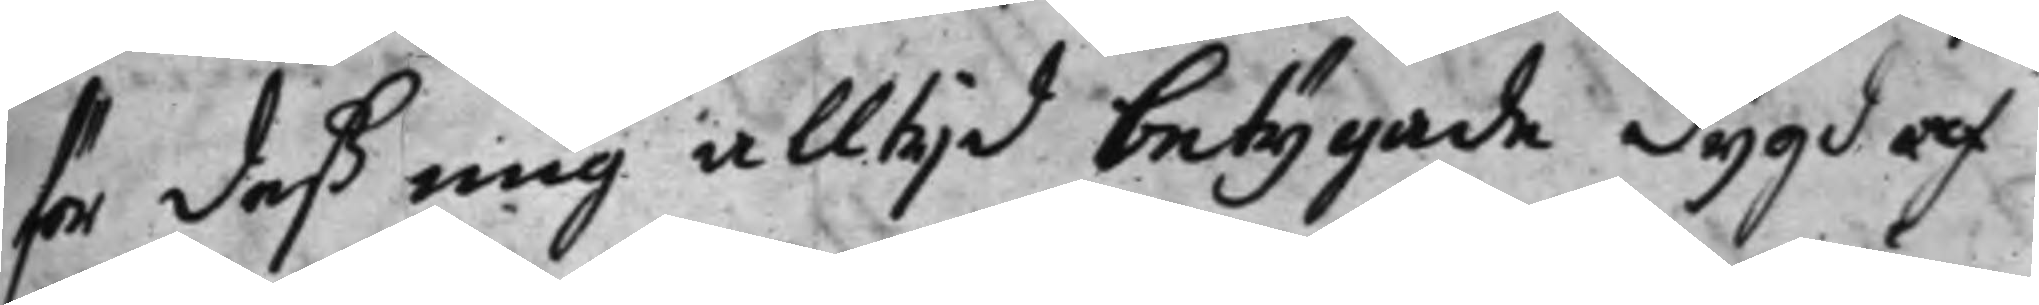för deß mig allijd betygade dygd af
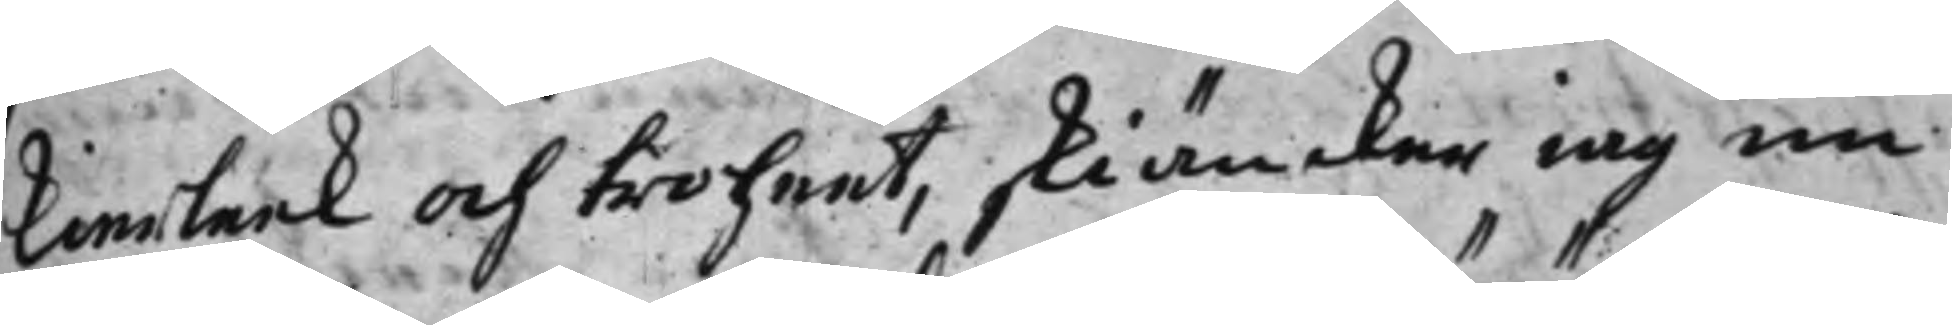kierleek och troheet, skiäncker iag nu
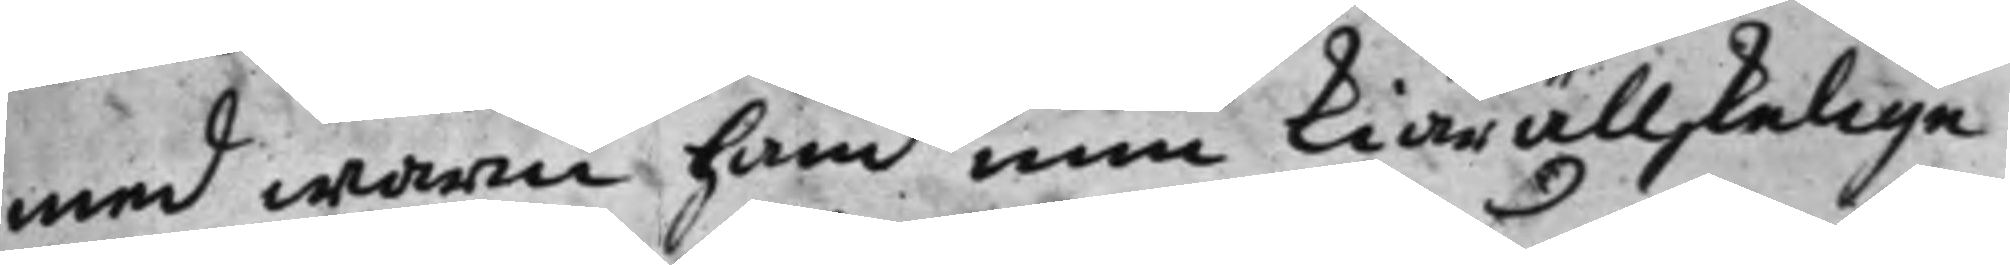med warm hand min kiärällskelige
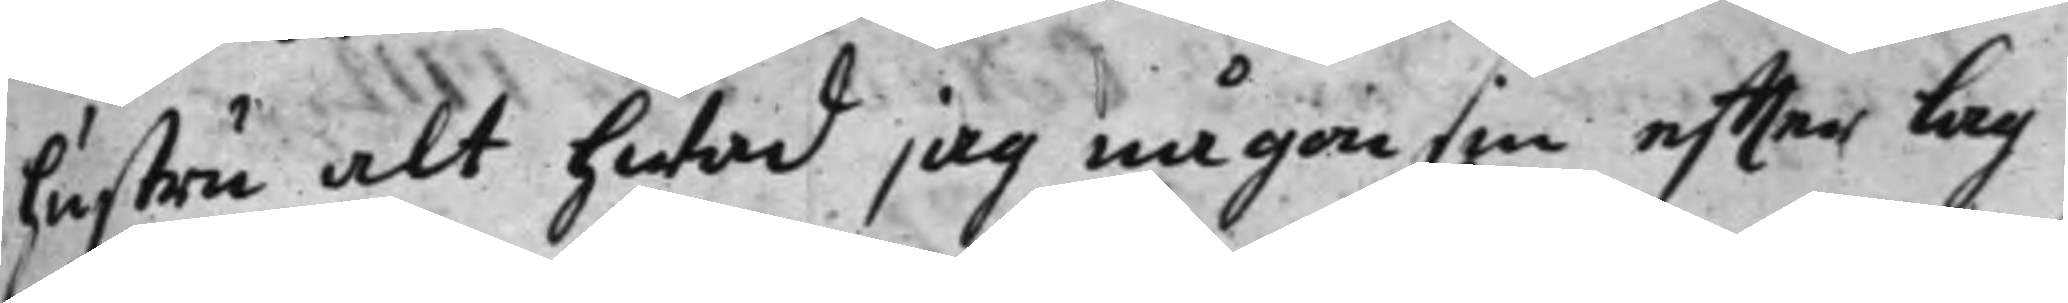hustru alt hwad jag någonsin effter lag
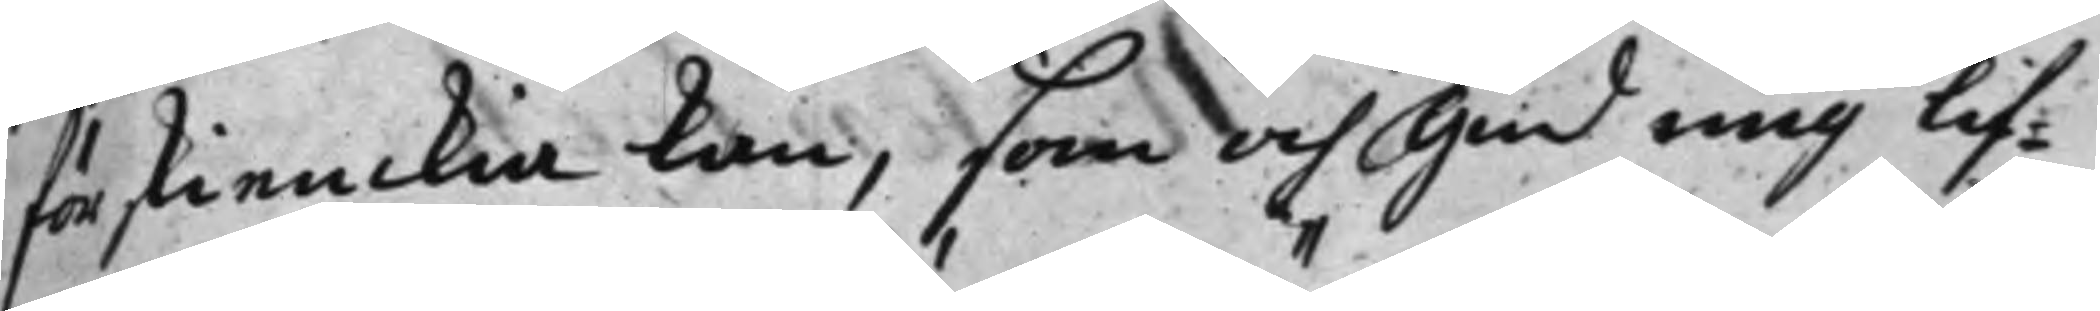förskienckia kan, som och Gud mig lif¬
